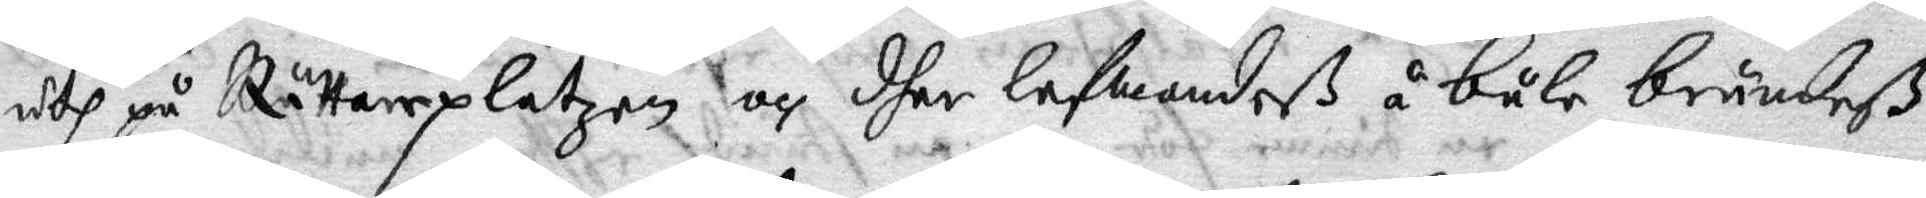uth på Rättareplatzen och dher lefwandeß å båle brändeß.
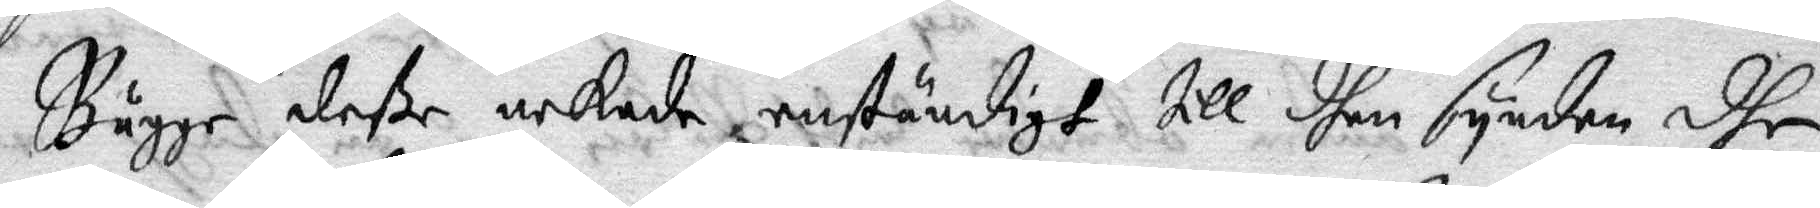Bägge deße nekade enständigt till dhen synden dhe
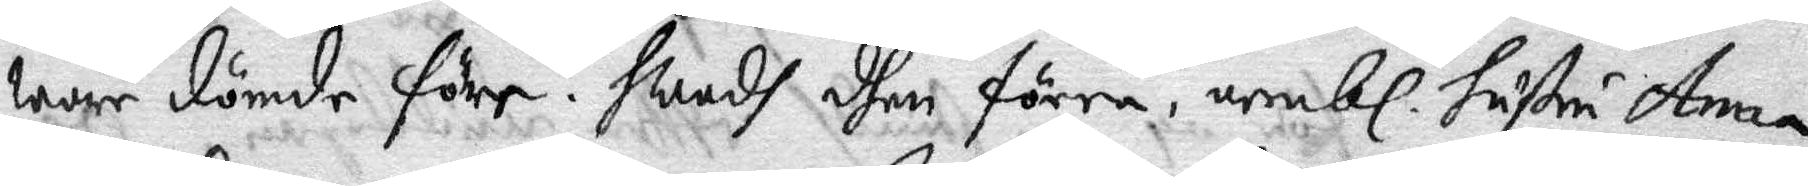war dömde före. Hwadh dhen förra, nembl. hustru Anna
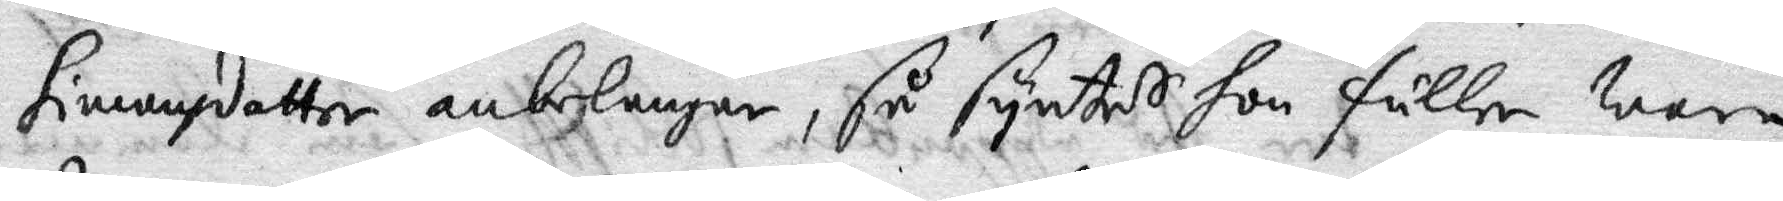Simonsdotter anbelangar, så syntes hon fuller wara
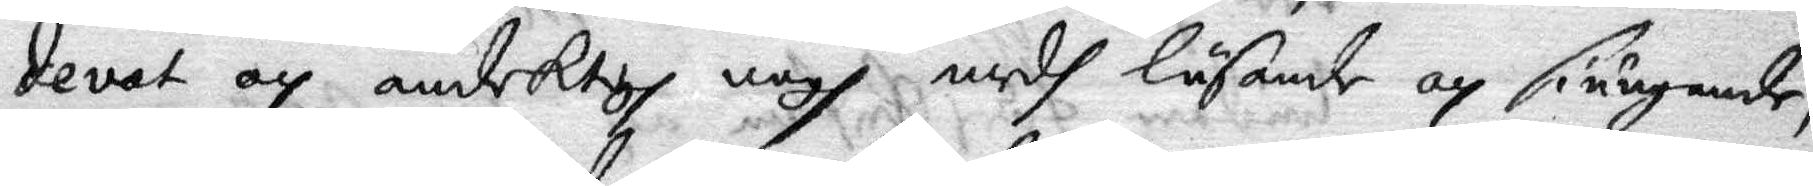devat och andektigh nogh medh läsande och siungande,
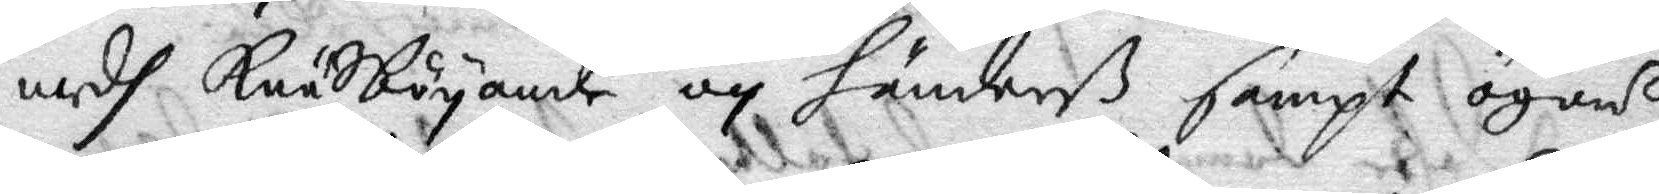medh Knäsböyande och händerß sampt ögons
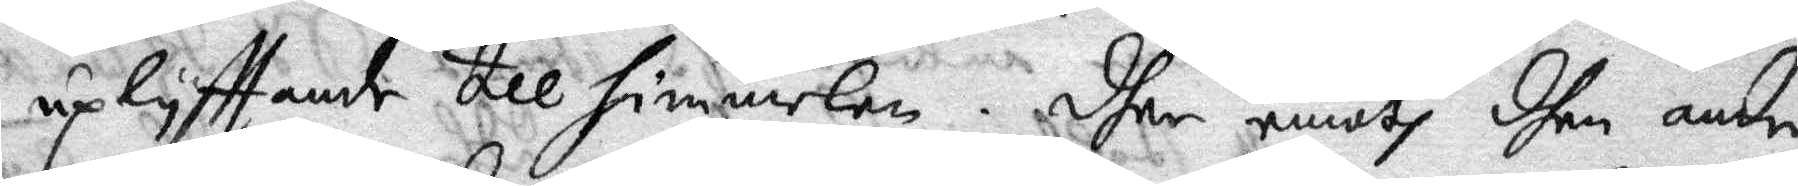uplyfftande till himmelen. Dher emoth dhen andre
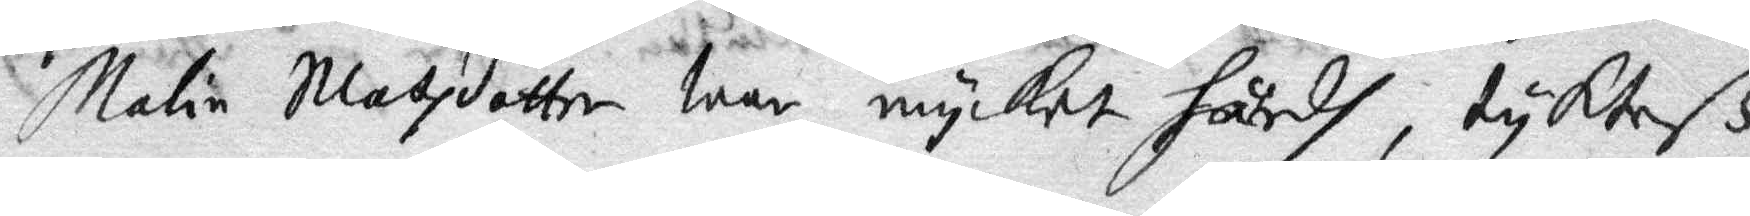Malin Matzdotter war mycket hårdh, tykteß
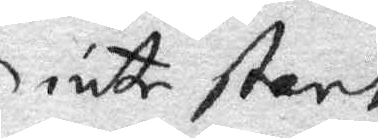inte stort
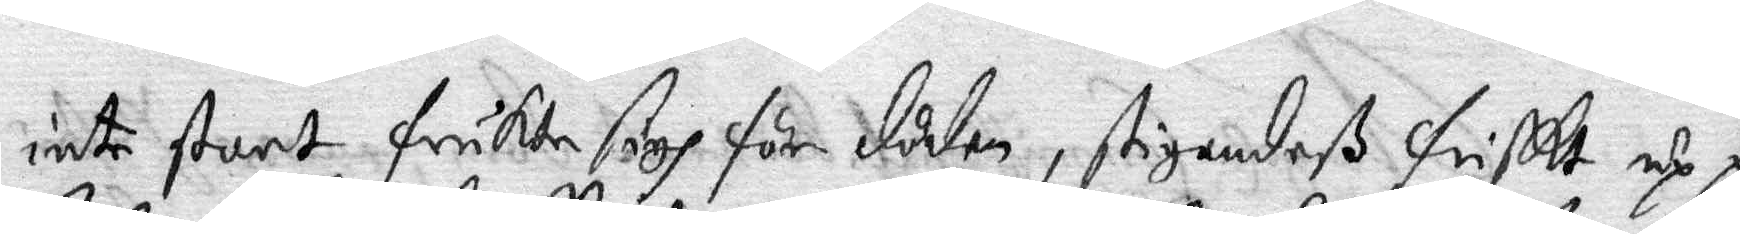inte stort frukta sigh för döden, stigandeß friskt up på
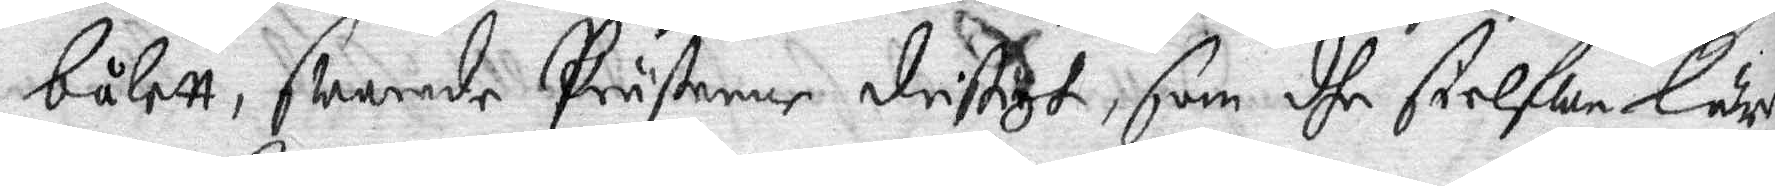bålett, swarnade Prästerne dristigt, som dhe sielfwe lärer
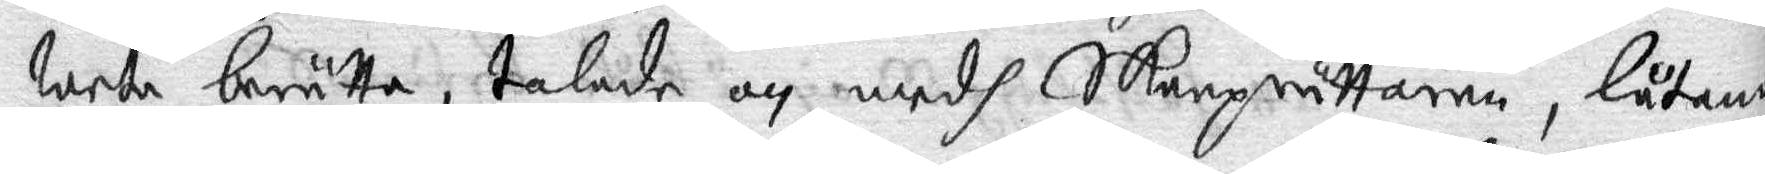weta berätta, talande och medh Skarprättaren, låtande
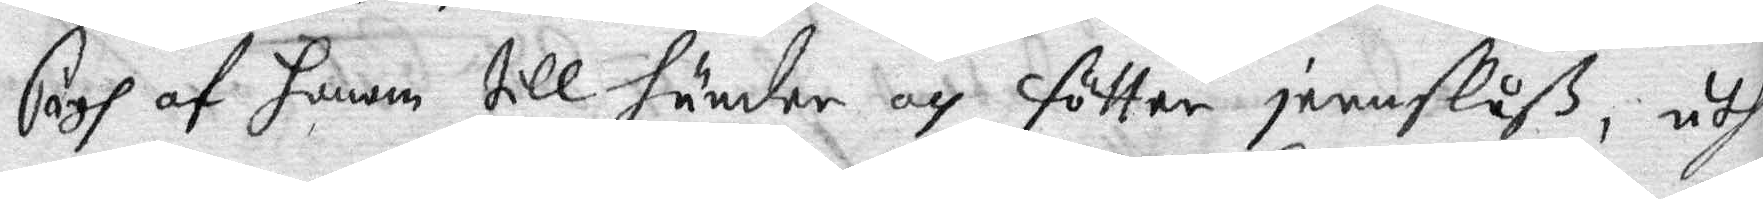sigh af honom till händer och fötter jernslåß, uthi
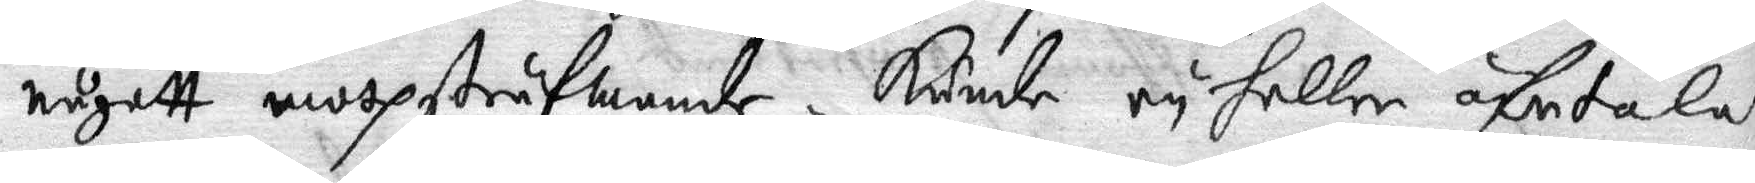någott mothsträfwande. Kunde ey heller öfertalas
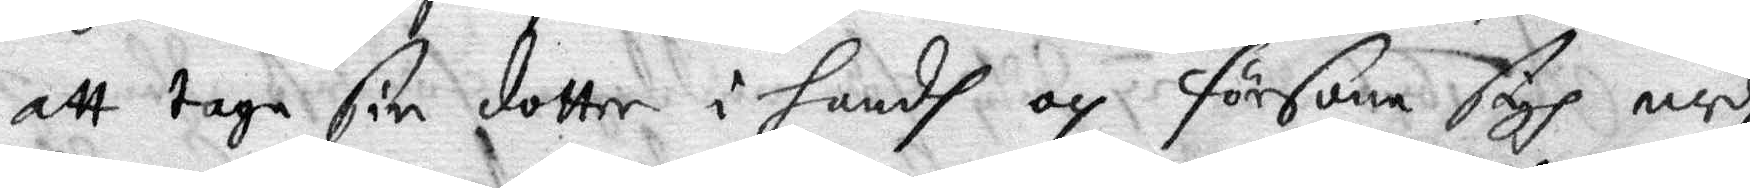att taga sin dotter i handh och försona sigh medh
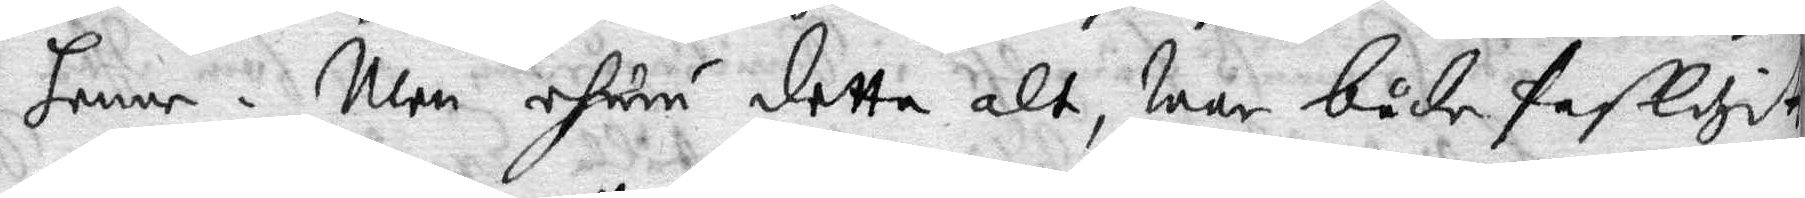henne. Men ehuru detta alt war både fasligit
